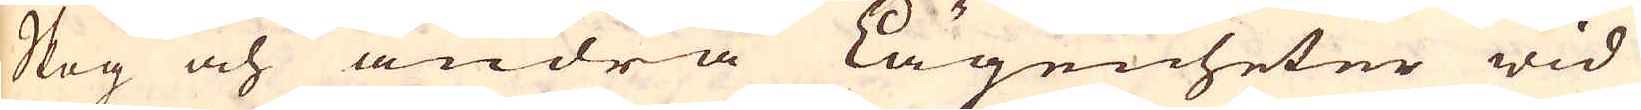Skog och andra lägenheter wid
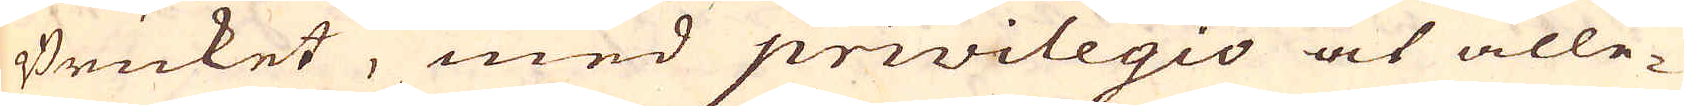Bruket, med privilegio at alle-
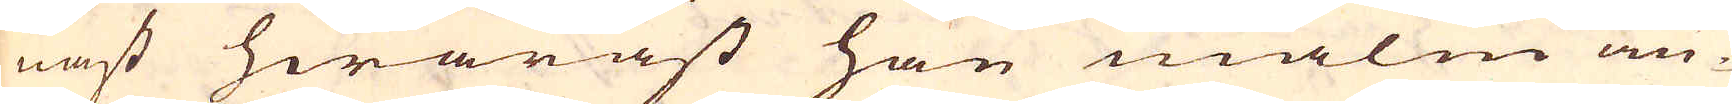nast hwaräst han malm an-
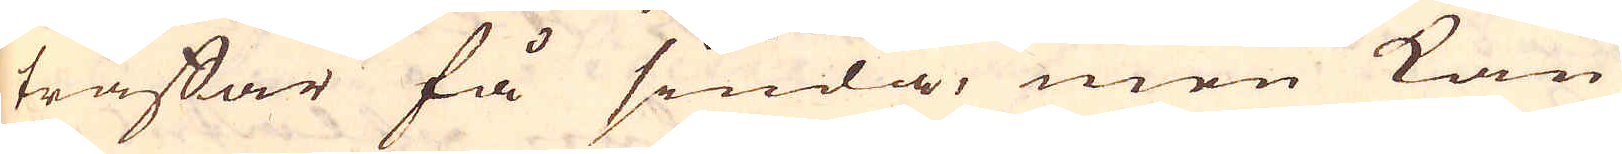träffar få siuda, men kan
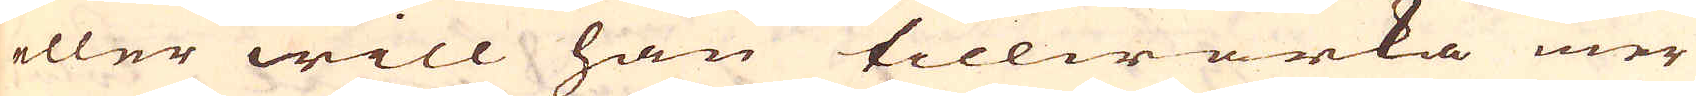eller will han tillwärka mer
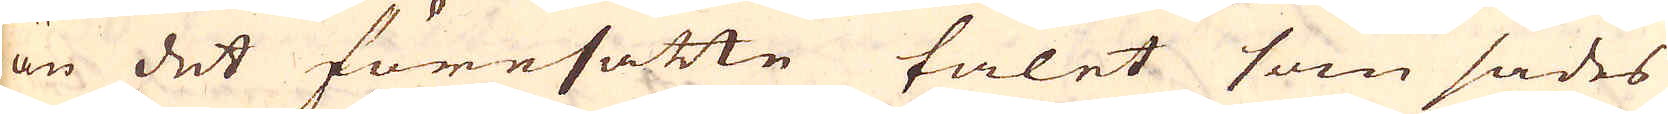än det föresatte talet som sades
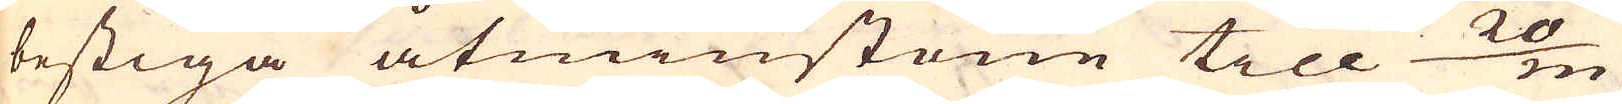bestiga åtminstone till 20/m
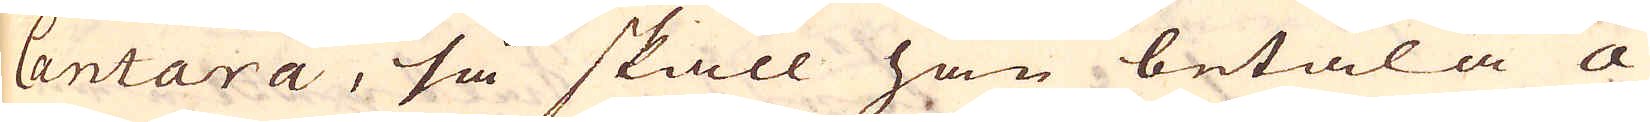Cantara, så skall han betala a
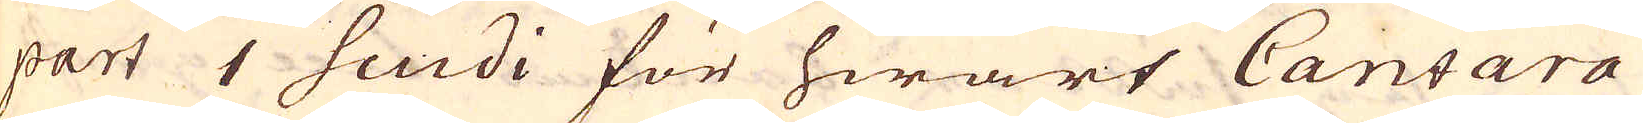part 1 scudi för hwart Cantara
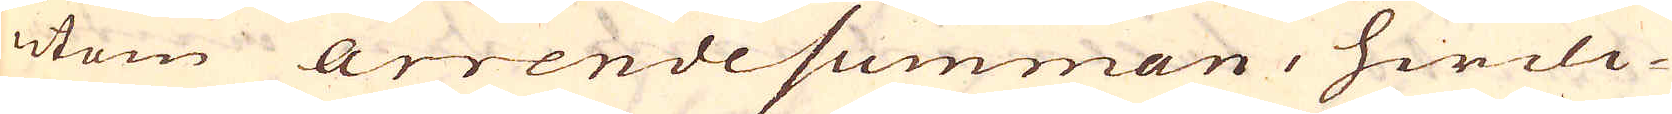utom arrendesumman, hwilc-
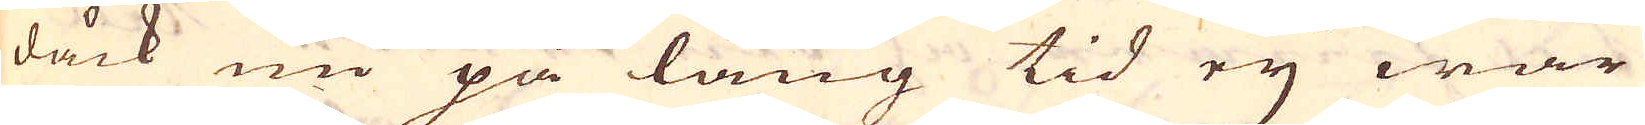dåck nu på lång tid ej war
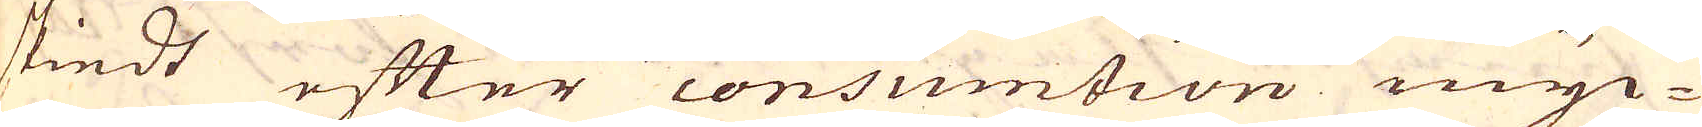skiedt efter consumtion myc-
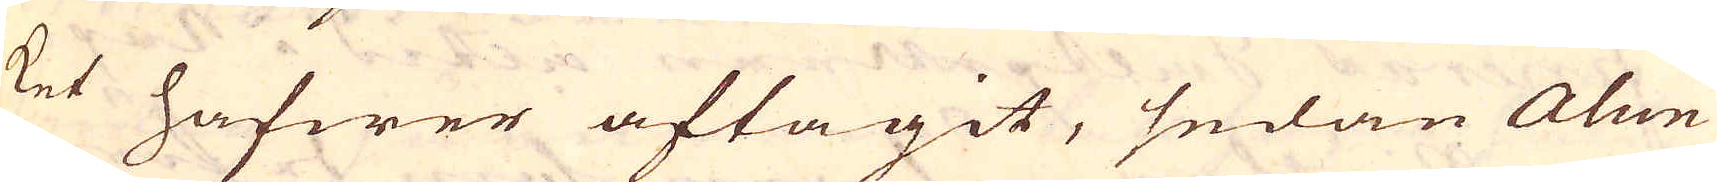ket hafwer aftagit, sedan Alun
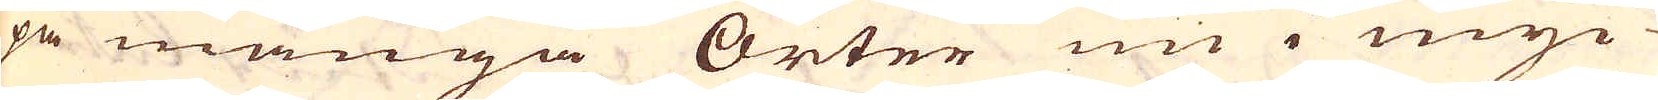på många Orter nu i myc-
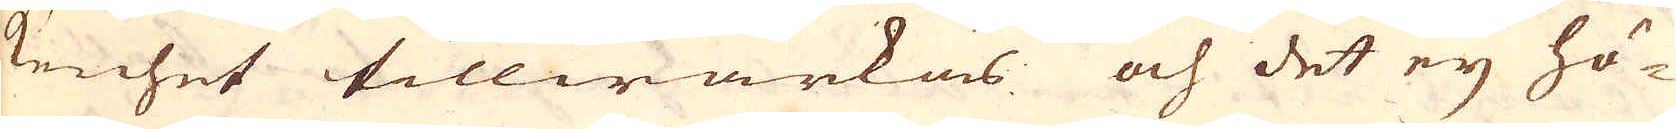kenhet tillwärkas och det eij hö-
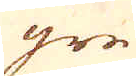gre
